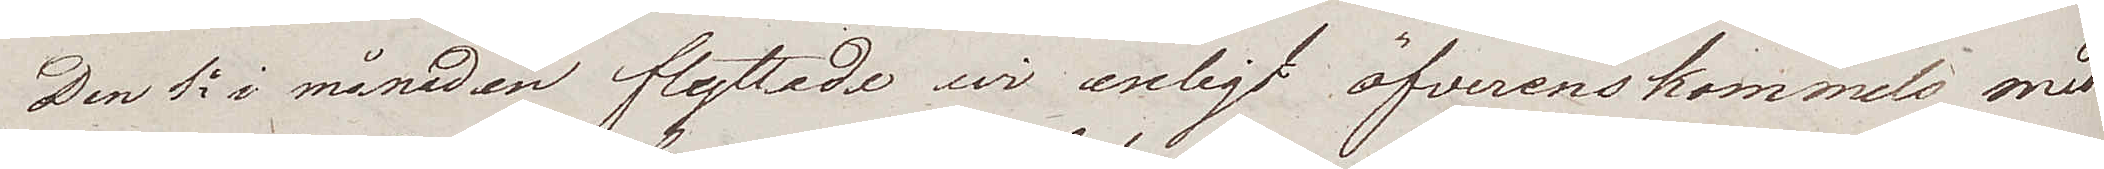Den 1e i månaden flyttade wi enligt öfverenskommels med
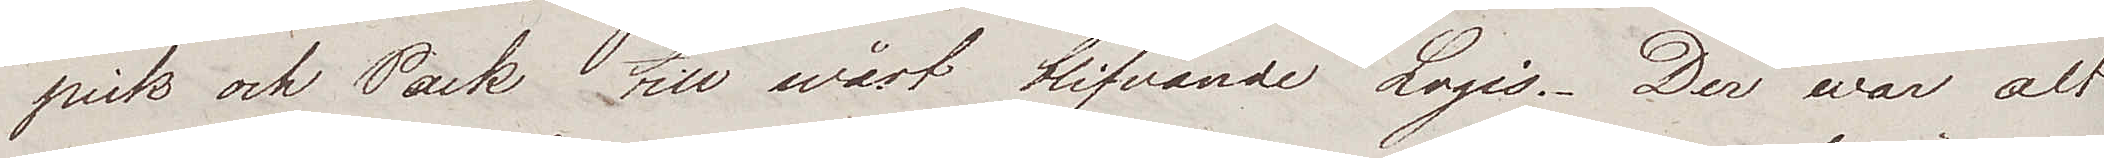pick och Pack till wårt blifvande Logis. Der war alt
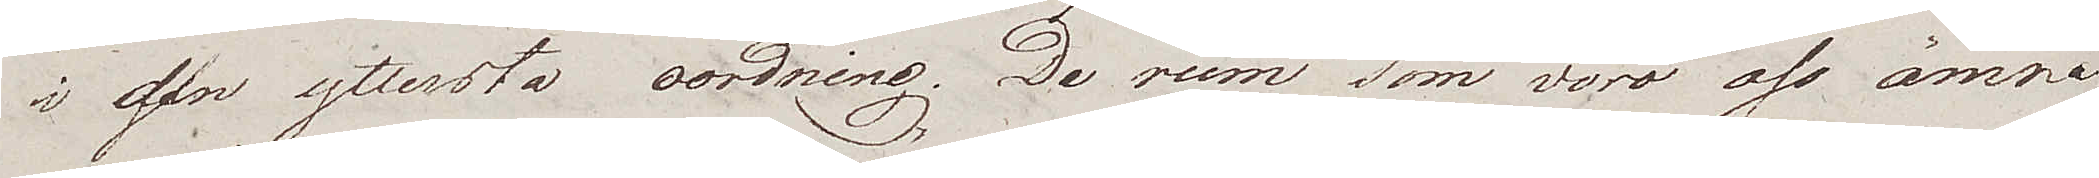i den yttersta oordning; De rum som voro oss ämna¬
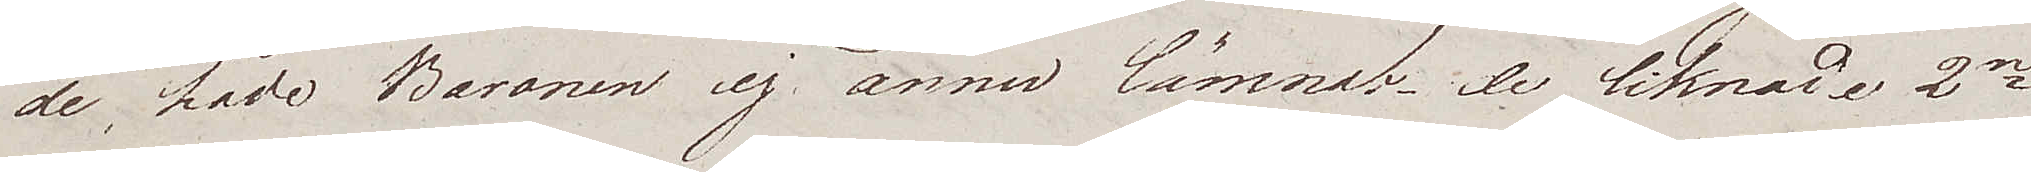de, hade Baronen ej ännu lämnat – de liknade 2ne
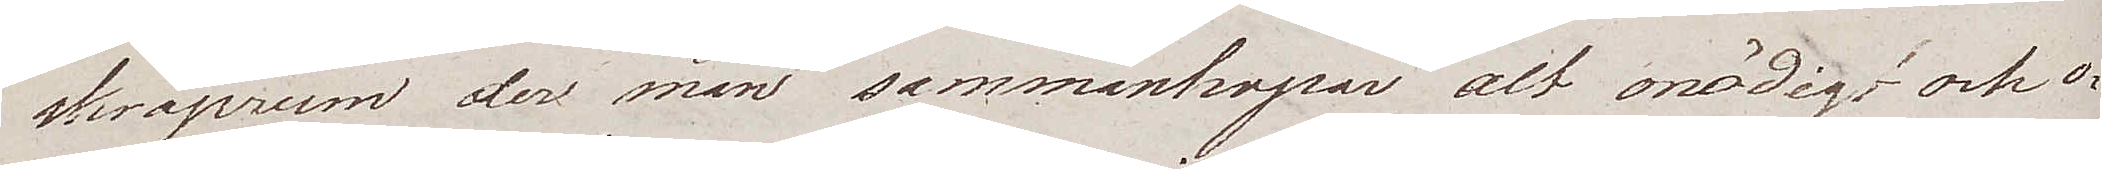skräprum der man sammanhopar alt onödigt och o¬
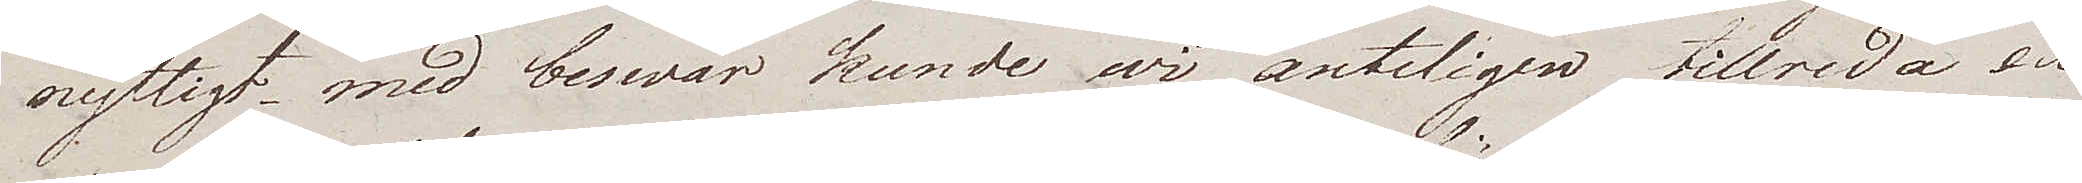nyttigt – med beswär kunde wi äntligen tillreda en
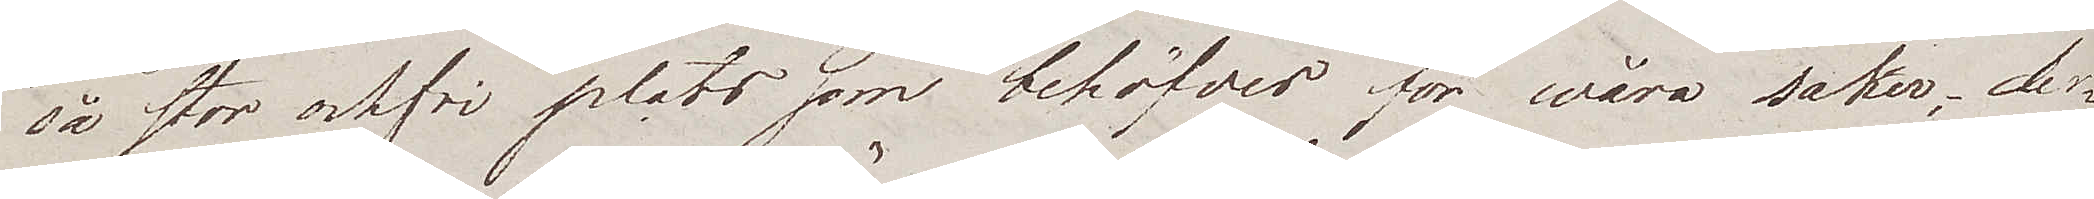så stor och fri plats som behöfdes för wåra saker – der¬
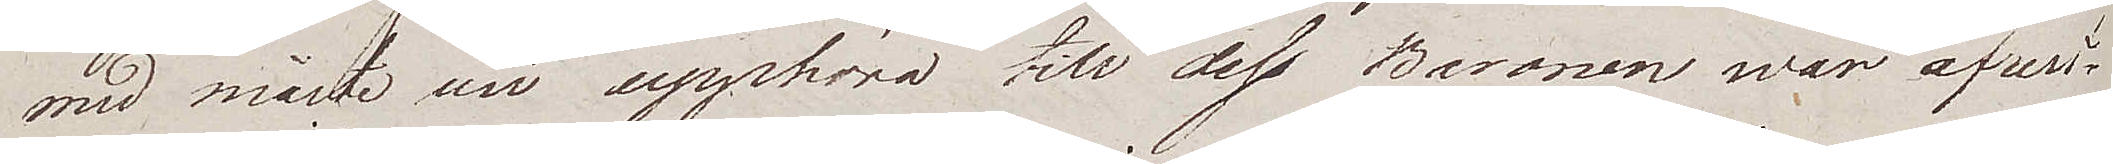med måste wi upphöra till dess Baronen war afrest.
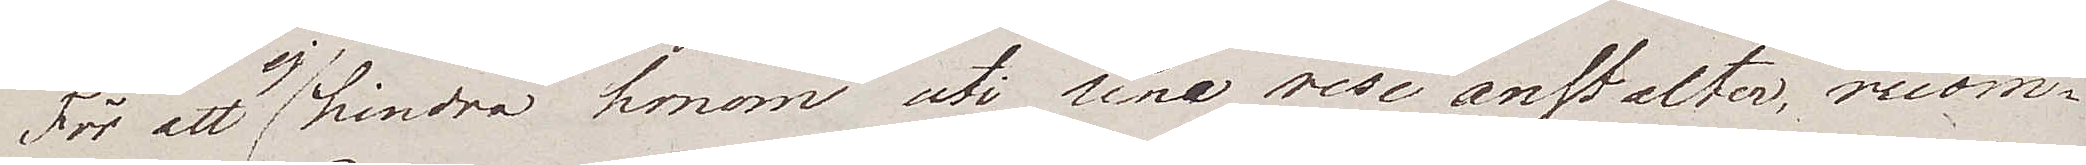För att ej hindra honom uti sina rese anstalter, recom¬
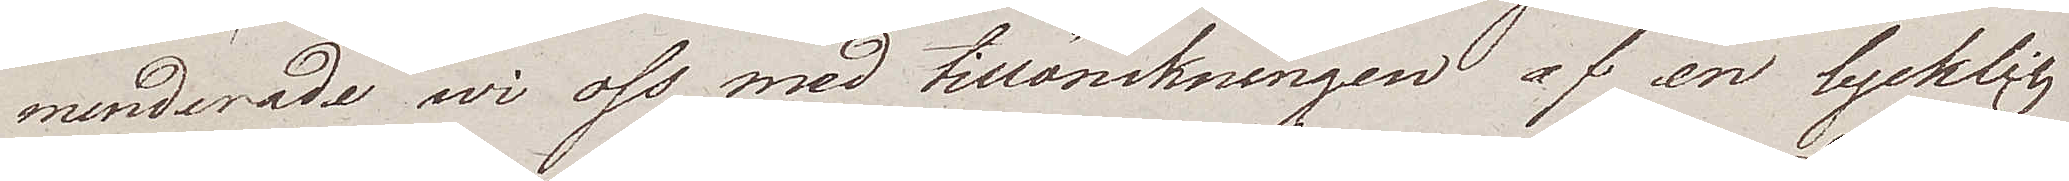menderade wi oss med tillönskningen af en lycklig
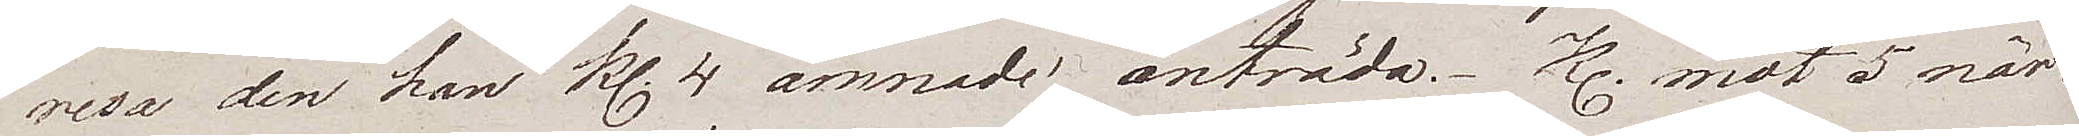resa den han Kl. 4 ämnade anträda. Kl. mot 5 när¬
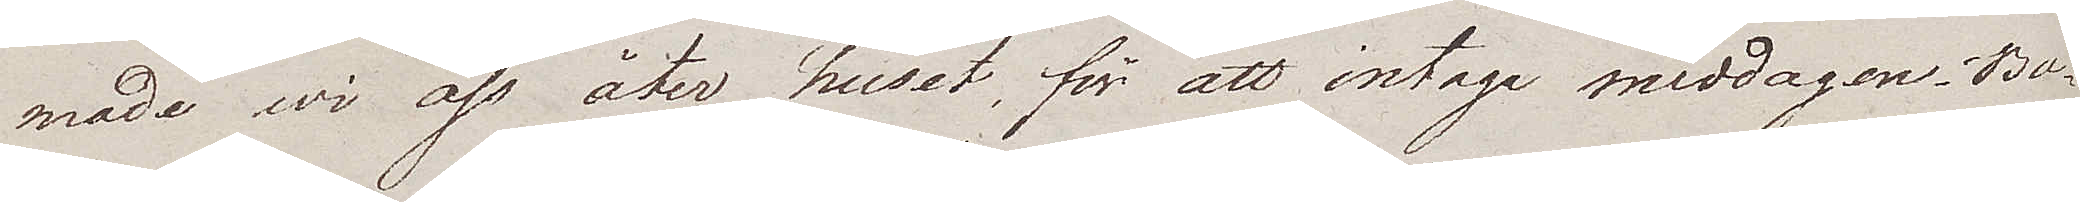made wi oss åter huset, för att intaga middagen. Ba¬
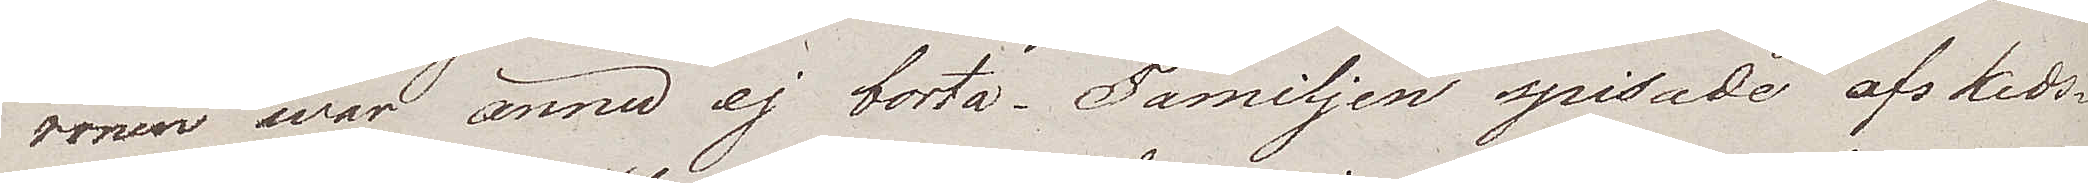ronen war ännu ej borta. Familjen spisade afskeds¬
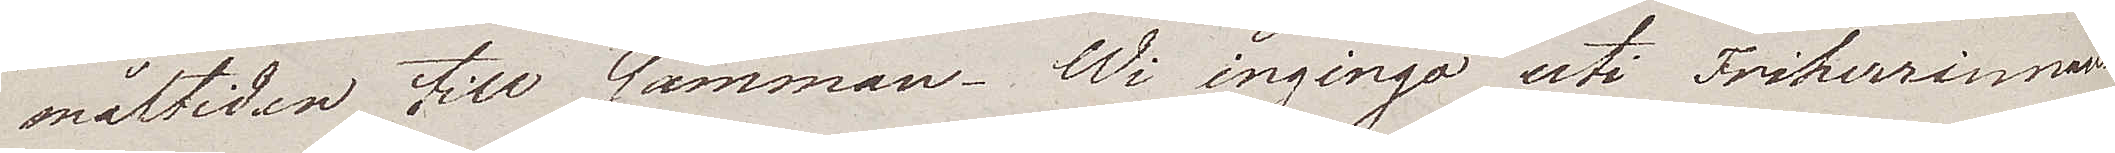måltiden till samman. Wi ingingo uti Friherrinnans
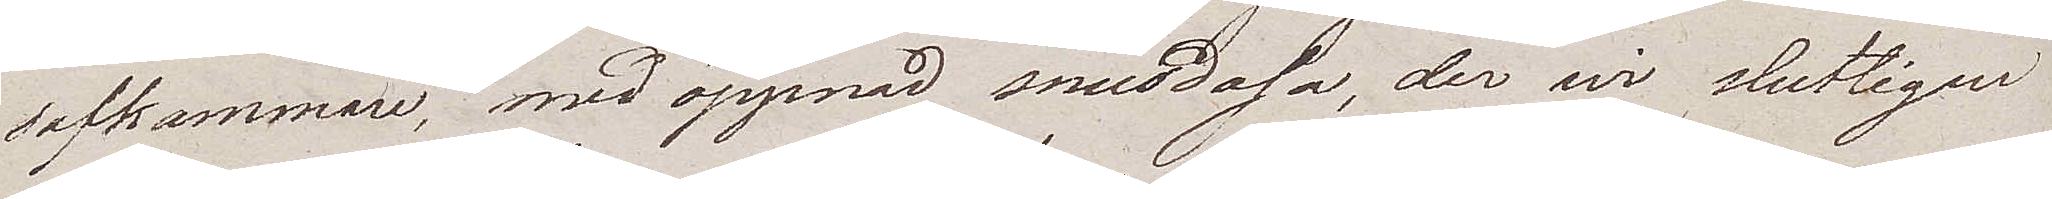sofkammare, med öppnad snusdosa, der wi slutligen
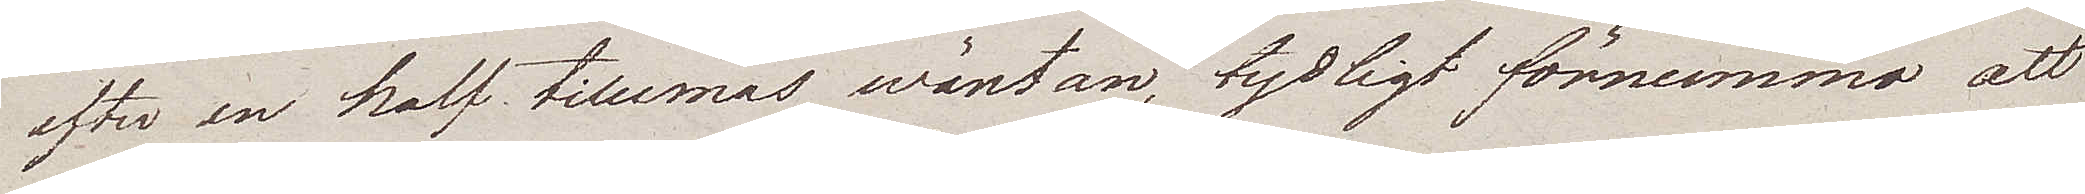efter en half timmas wäntan, tydligt förnummo att
